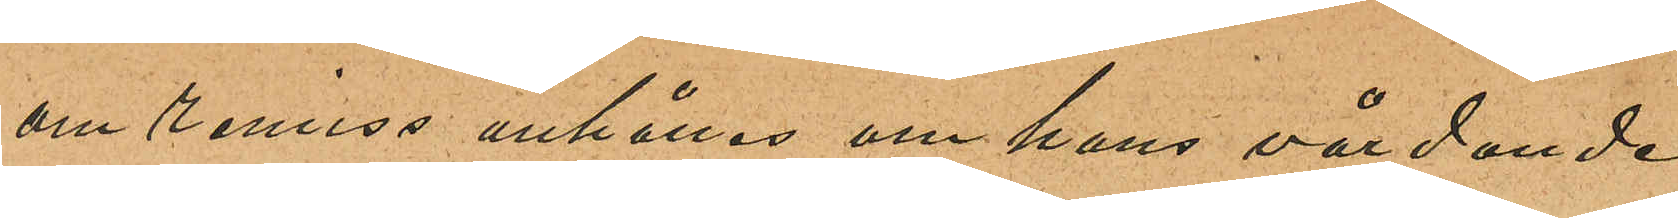om remiss anhålles om hans vårdande 
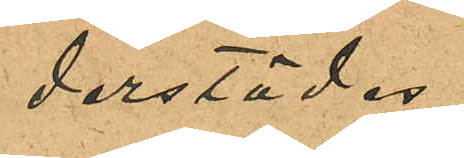derstädes.
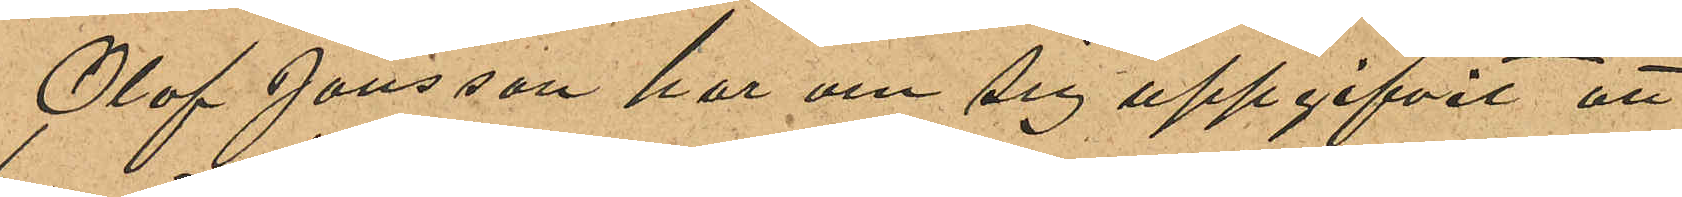Olof Jönsson har om sig uppgifvit att
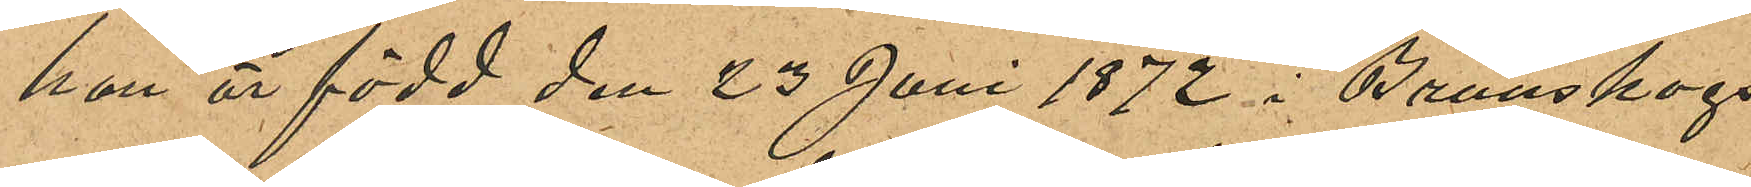han är född den 23 Juni 1872 i Brunskogs
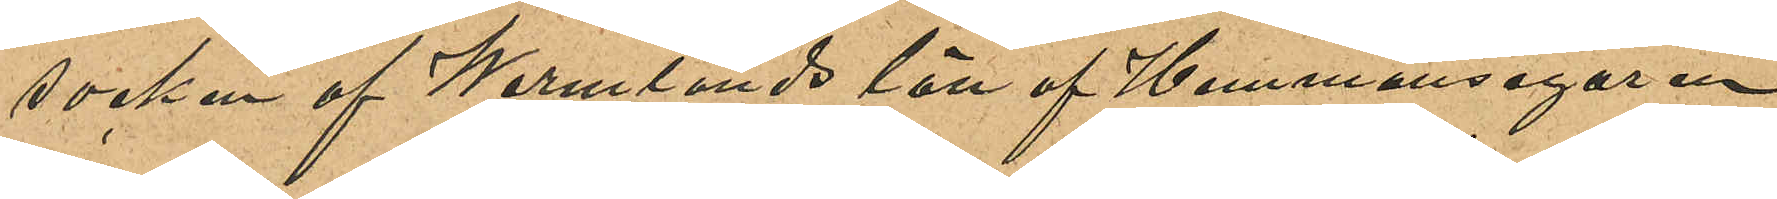socken af Wermlands län af Hemmansegaren
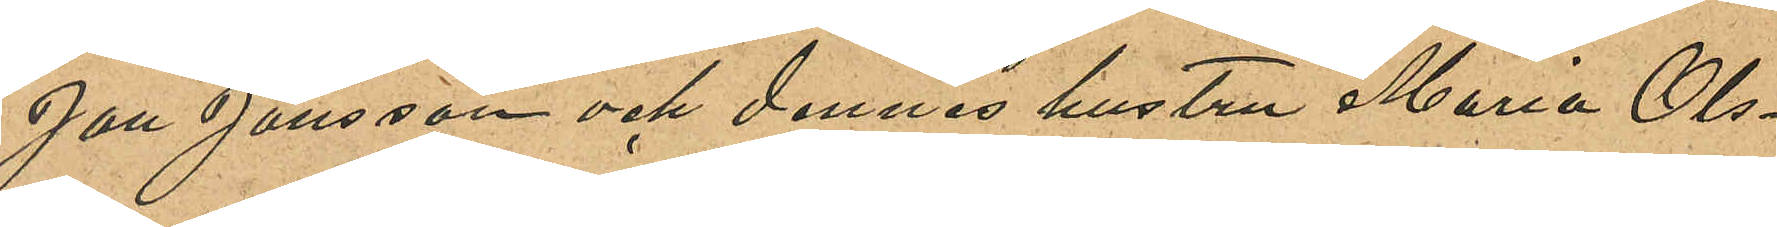Jan Jansson och dennes hustru Maria Ols¬
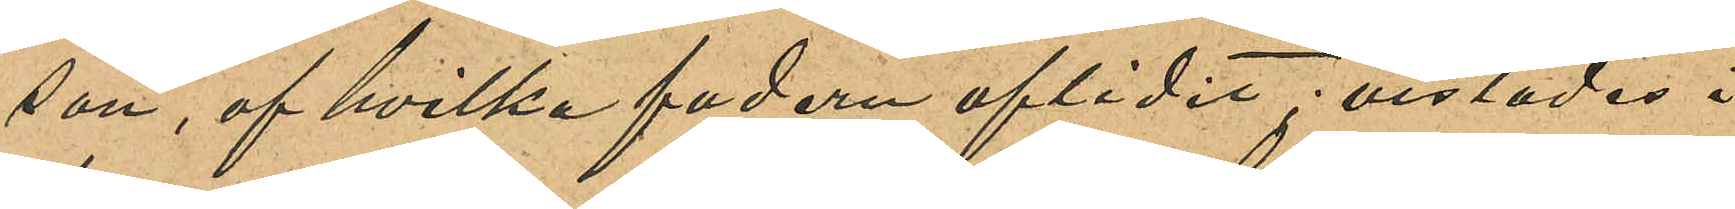son, af hvilken fadern aflidit; vistades i
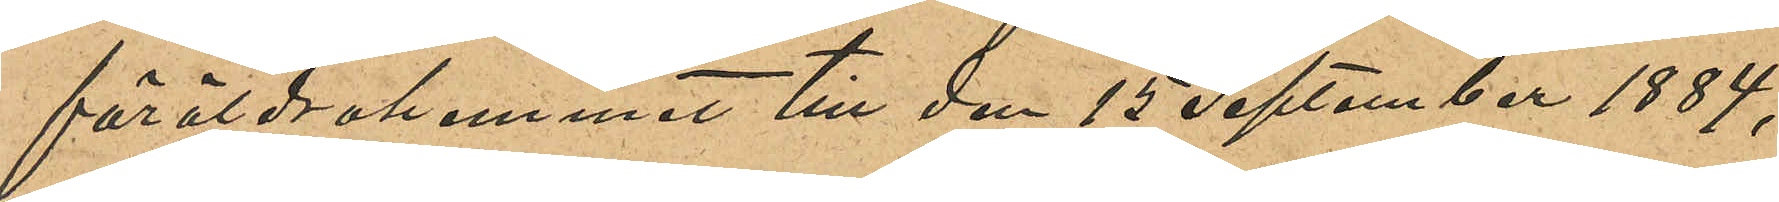föräldrahemmet till den 15 September 1884,
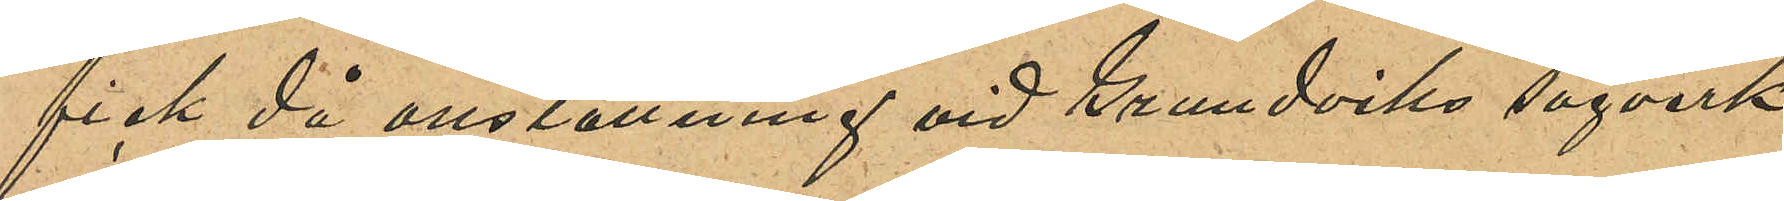fick då anställning vid Grundviks sågverk
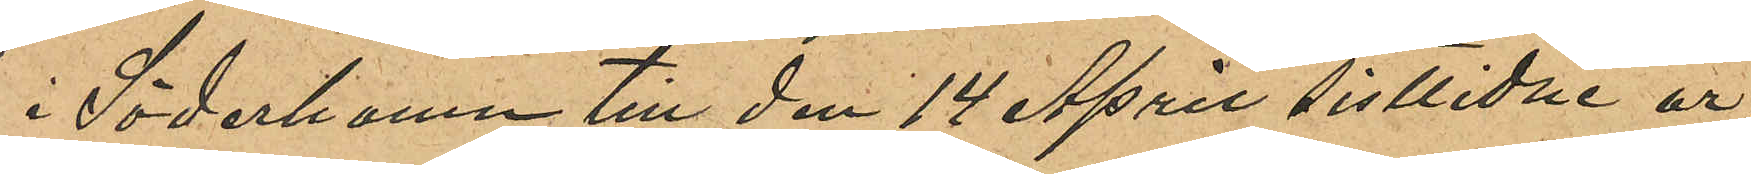i Söderhamn till den 14 April sistlidne år,
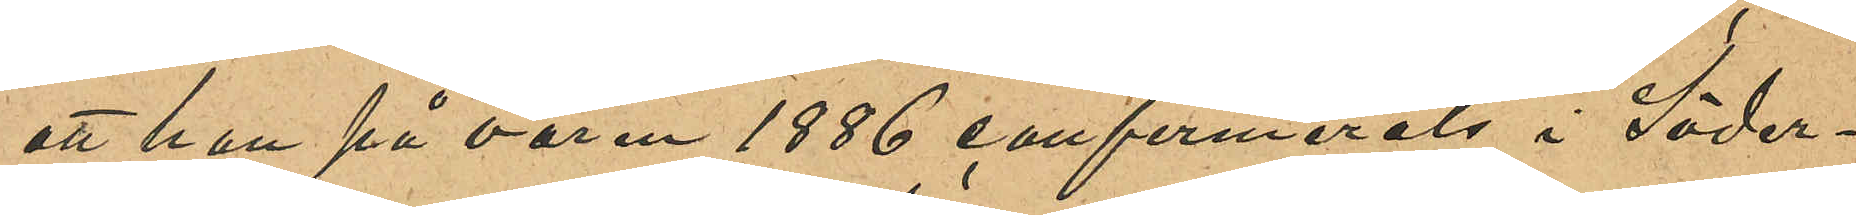att han på våren 1886 confirmerats i Söder¬
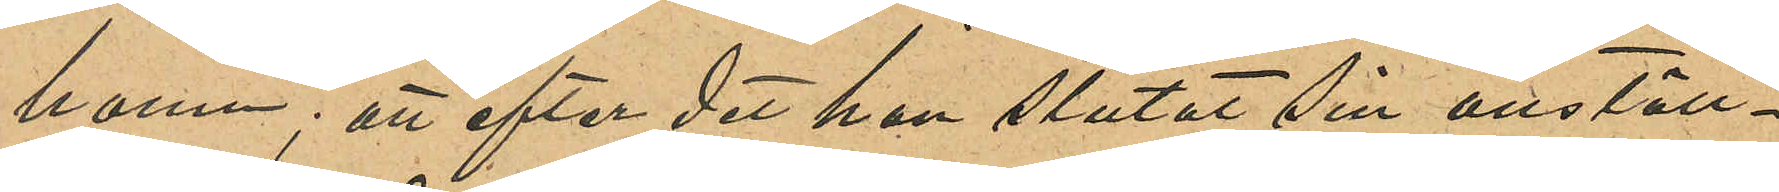hamn; att efter det han slutat sin anställ¬
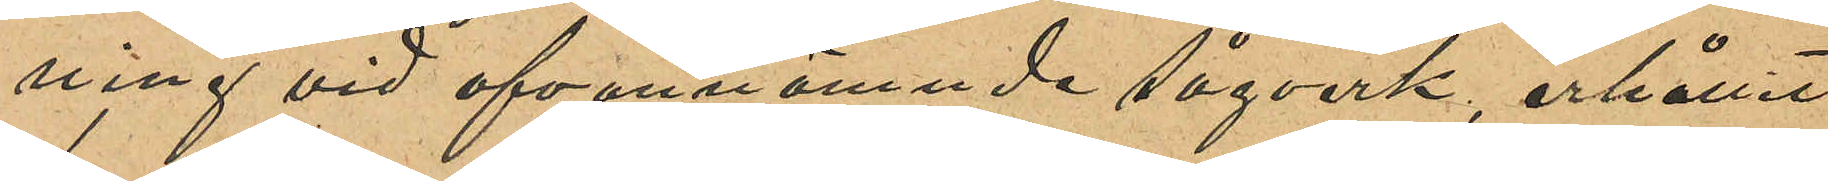ning vid ofvannämnde sågverk, erhållit
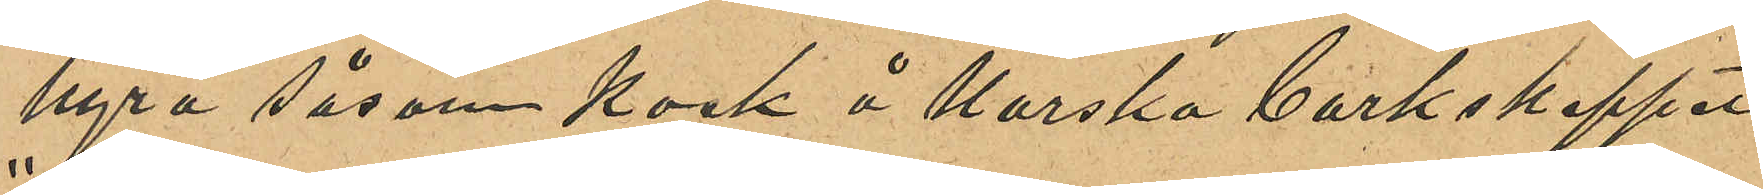hyra såsom kock å Norska barkskeppet
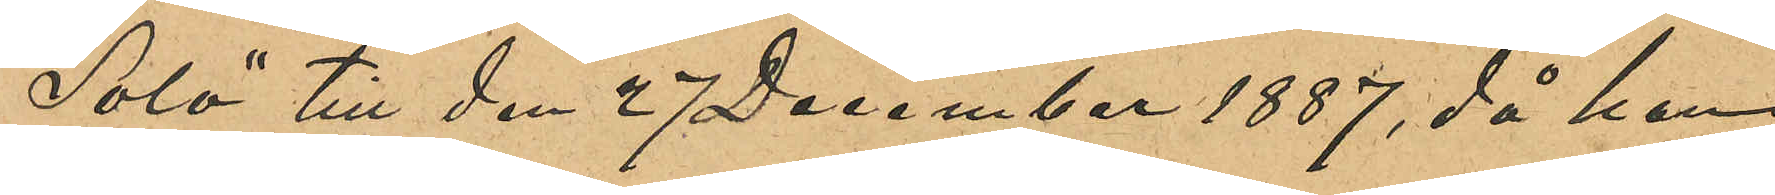"Solo" till den 27 December 1887, då han
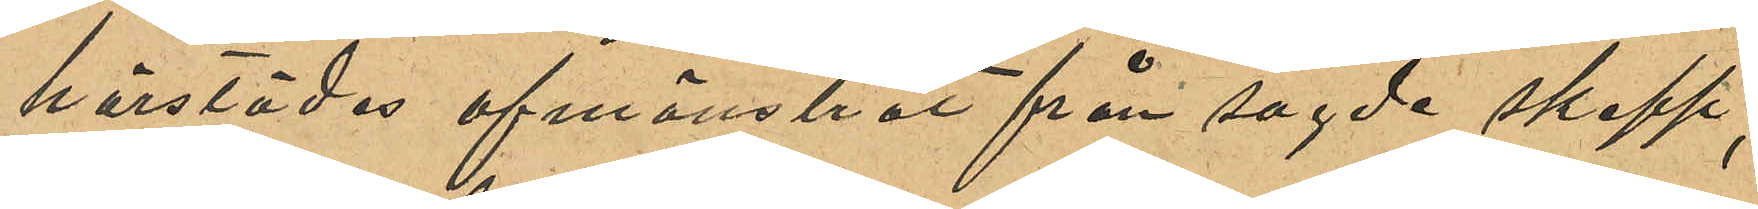härstädes afmönstrat från sagde skepp,
